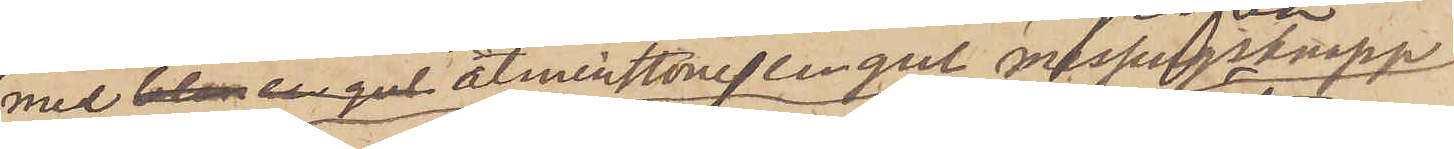med blån en gul åtminstone en gul messingsknapp
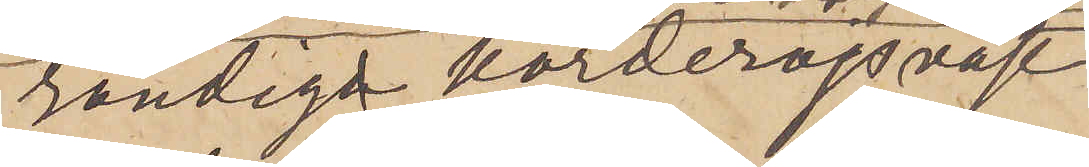randiga korderojsväst
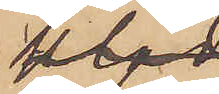en snygg
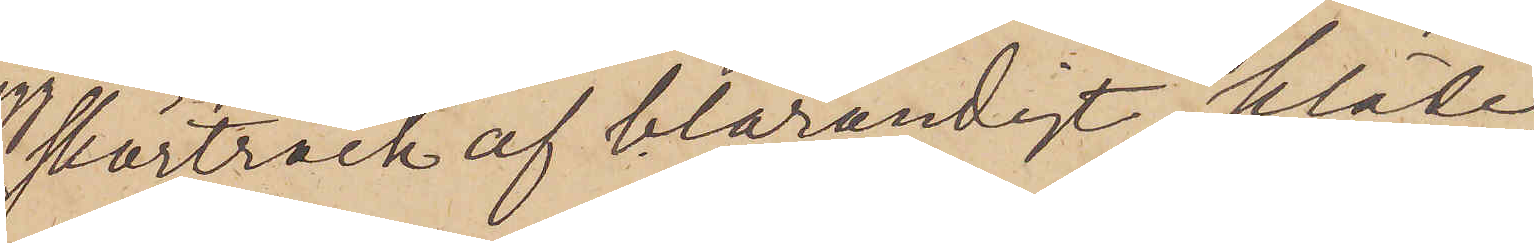 skörtrock af blårandigt kläde,
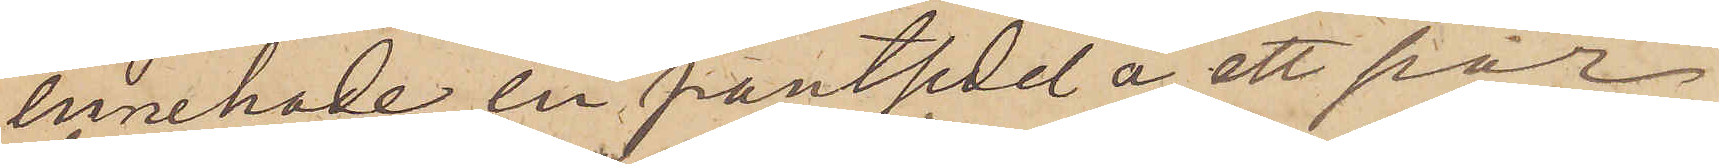innehade en pantsedel å ett par
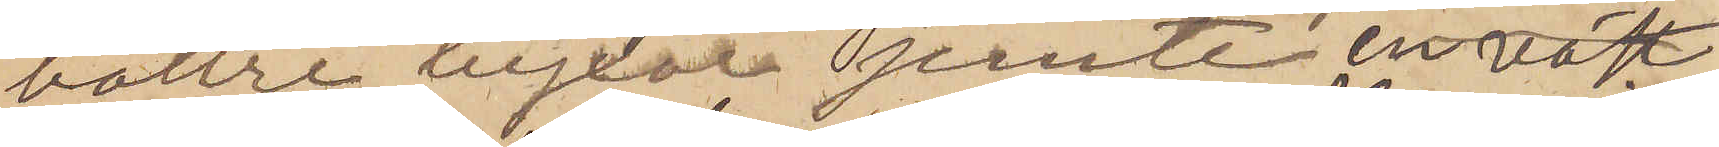bättre byxor jemte en väst
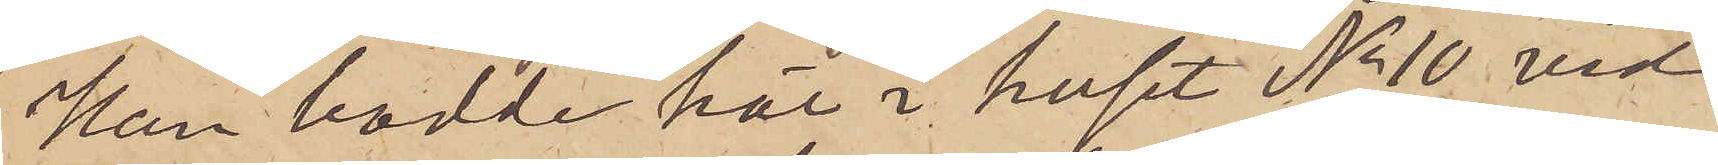Han bodde här i huset No 10 vid
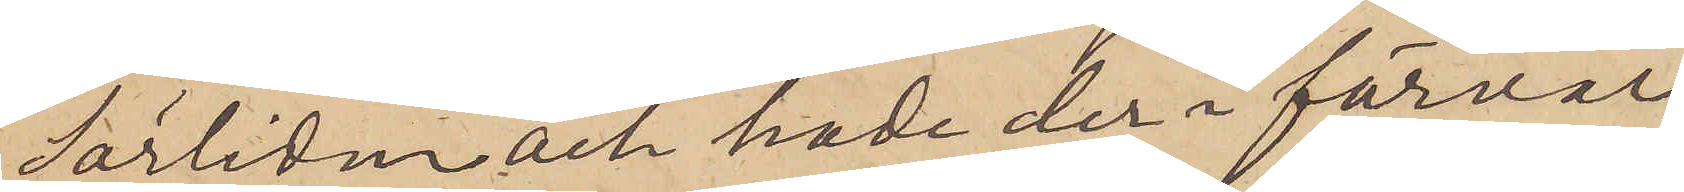Sörliden och hade der i förvar
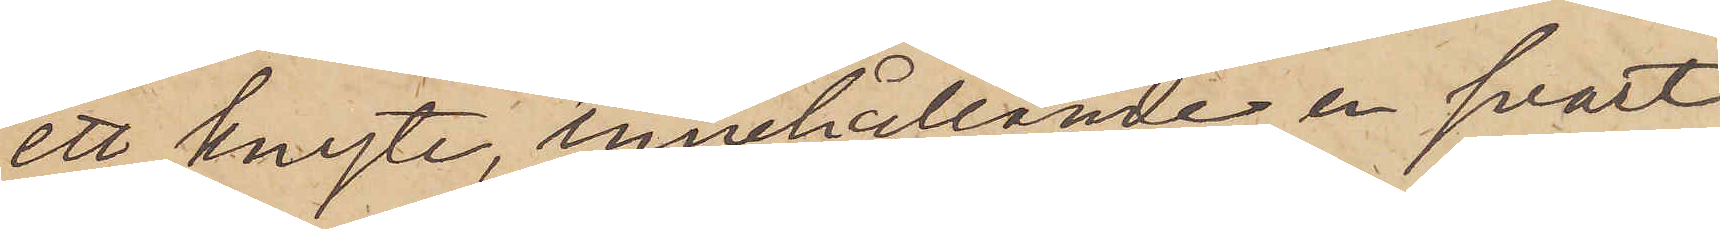ett knyte, innehållande en svart
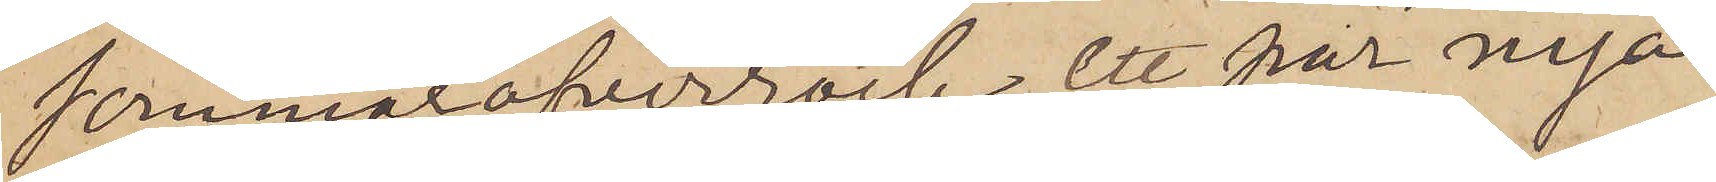sommaröfverrock, ett par nya
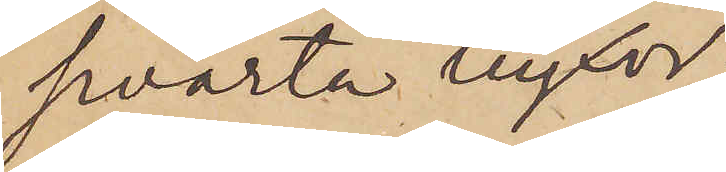svarta byxor,
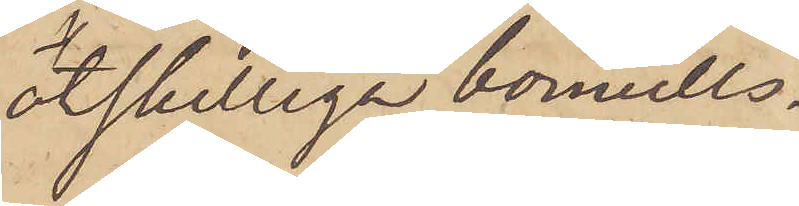åtskilliga bomulls¬
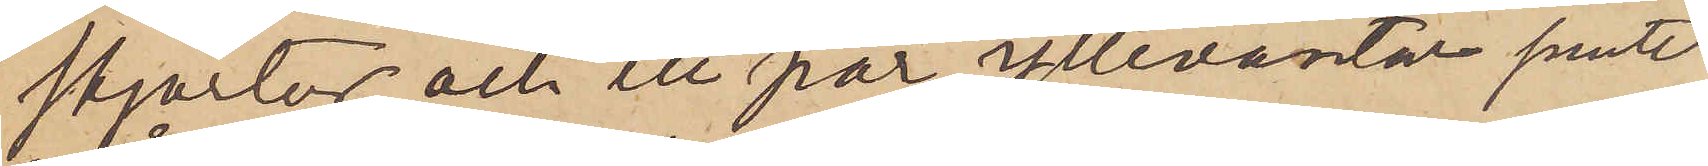skjortor och ett par yllevantar jemte
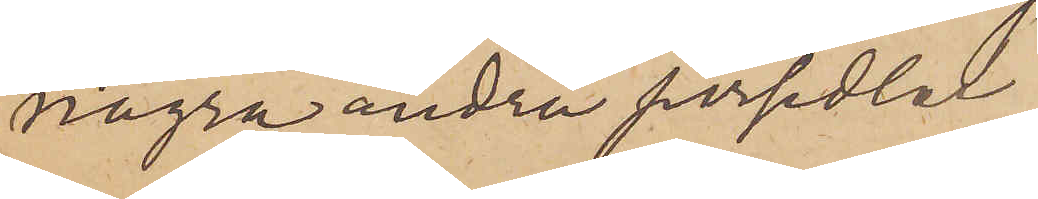några andra persedlar
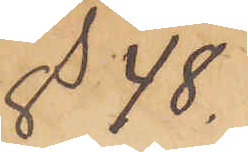  § 48.
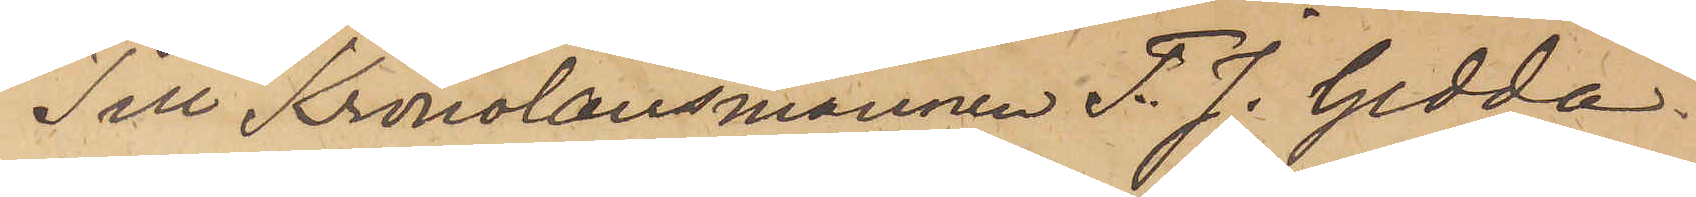Till Kronolänsmannen F. J. Gedda.
